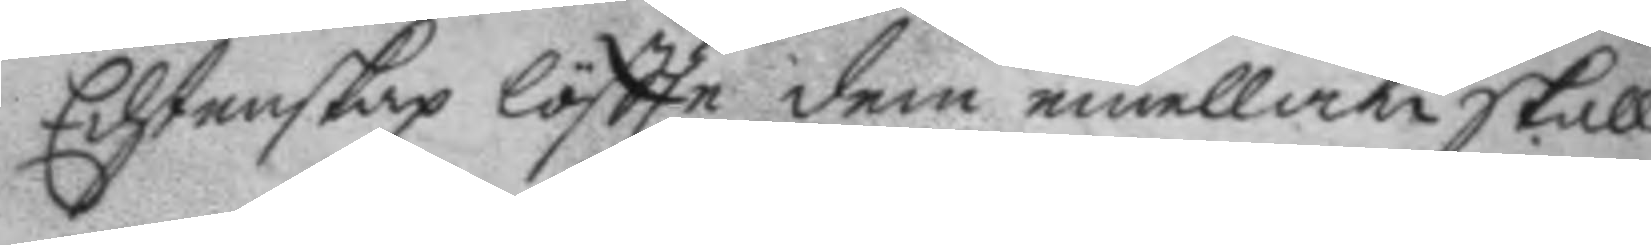Echtenskap löftte dem emellan skall
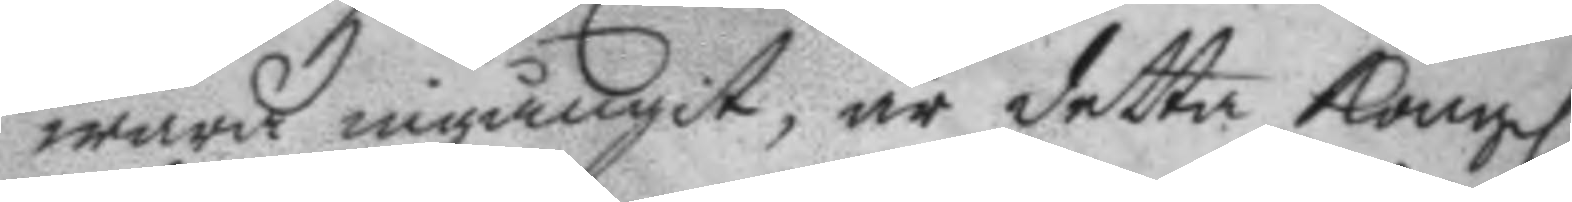wara ingångit, är detta Kongl. 
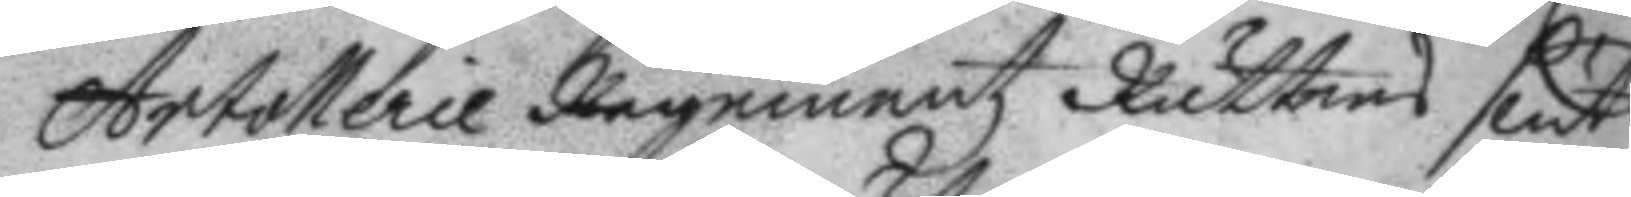Artollerie Regementz Rättens slut
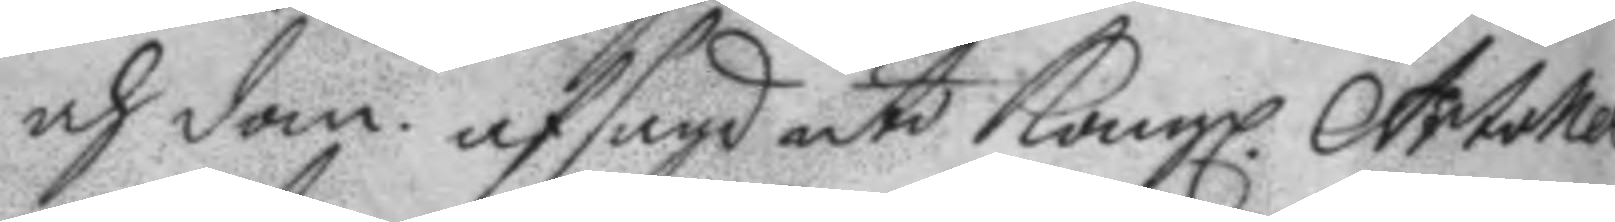och dom afsagd uti Kongl. Artollerie 
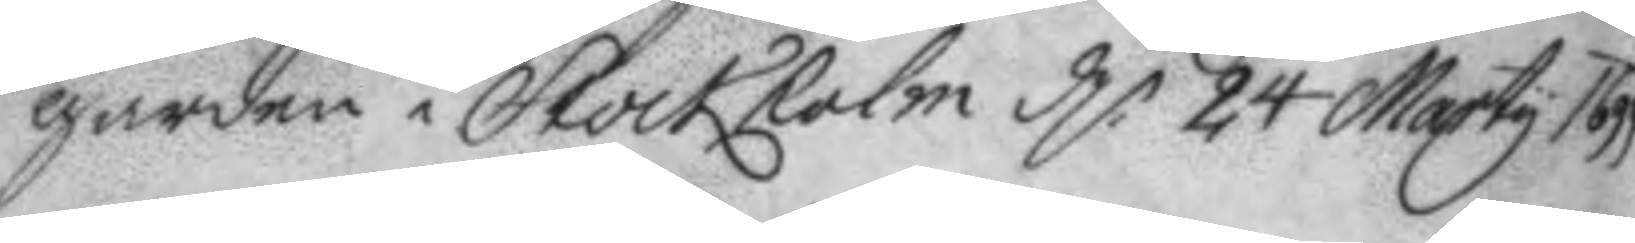gården i Stockholm d 24 Marty 1699
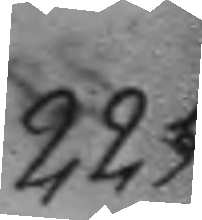225.
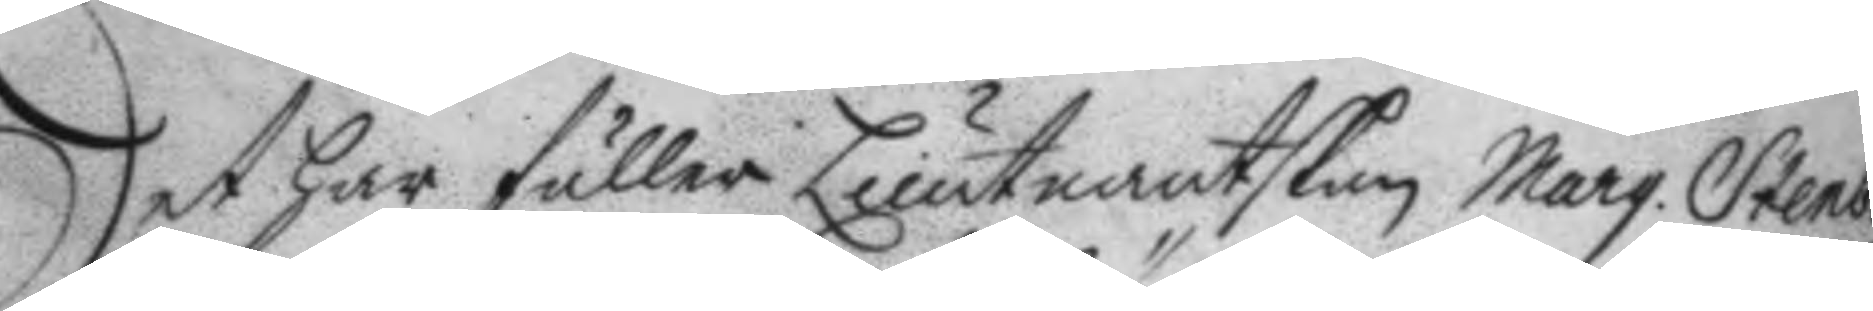Det har fuller Lieutnantskan Marg. Stenberg 
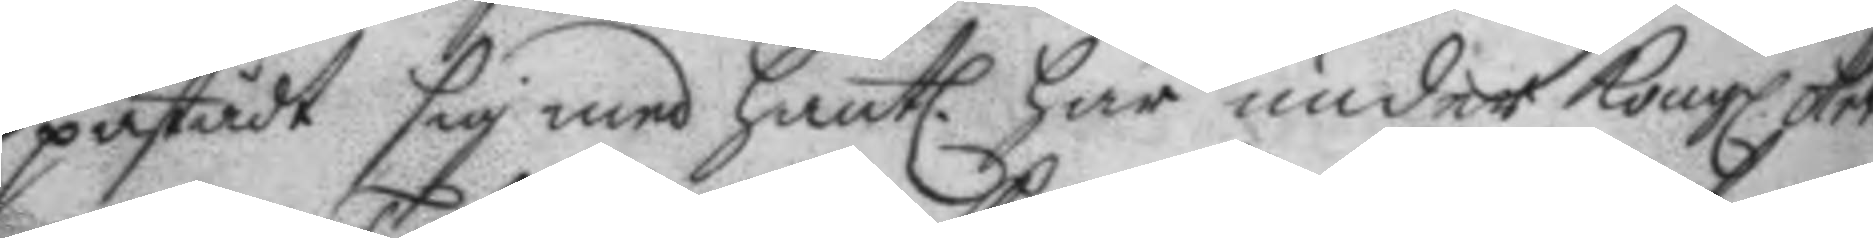påstådt sig med hantl. här under Kongl. Art. 
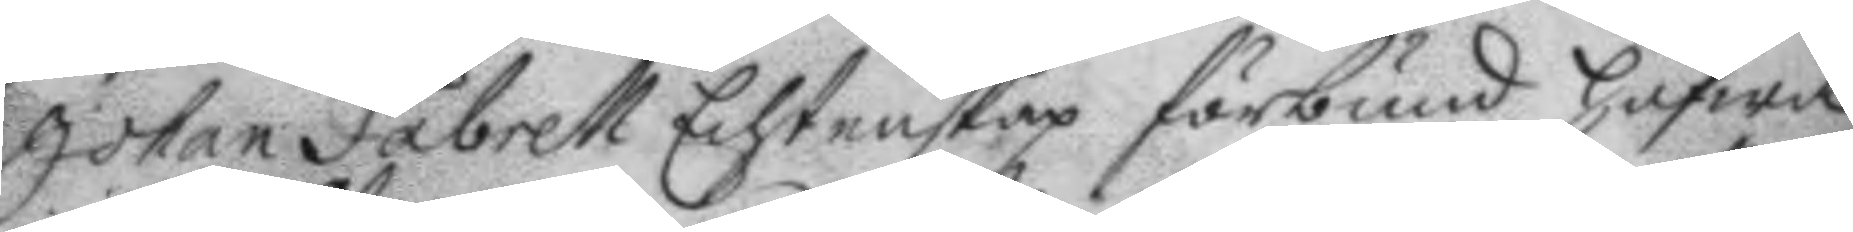Johan Fabrell Echtenskapz förbund hafwa
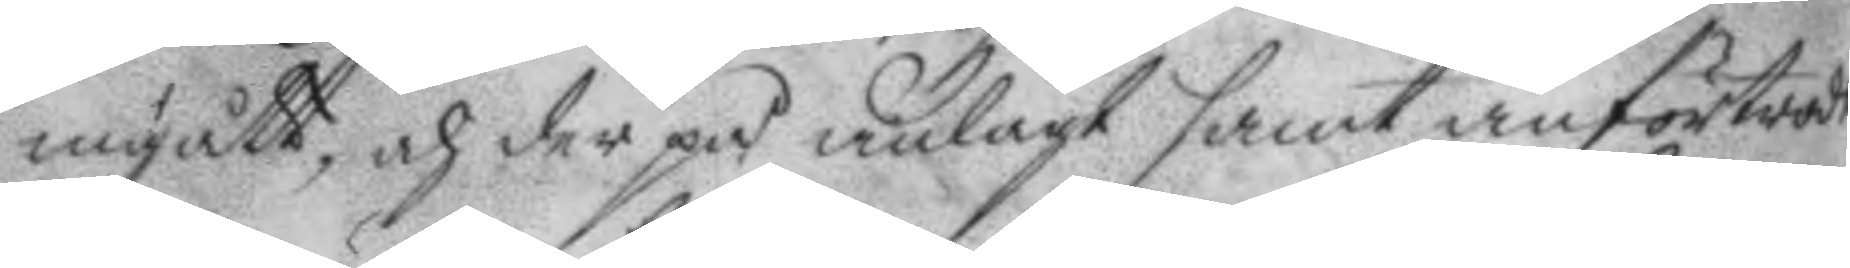ingått, och der på anlagt samt anförtrott
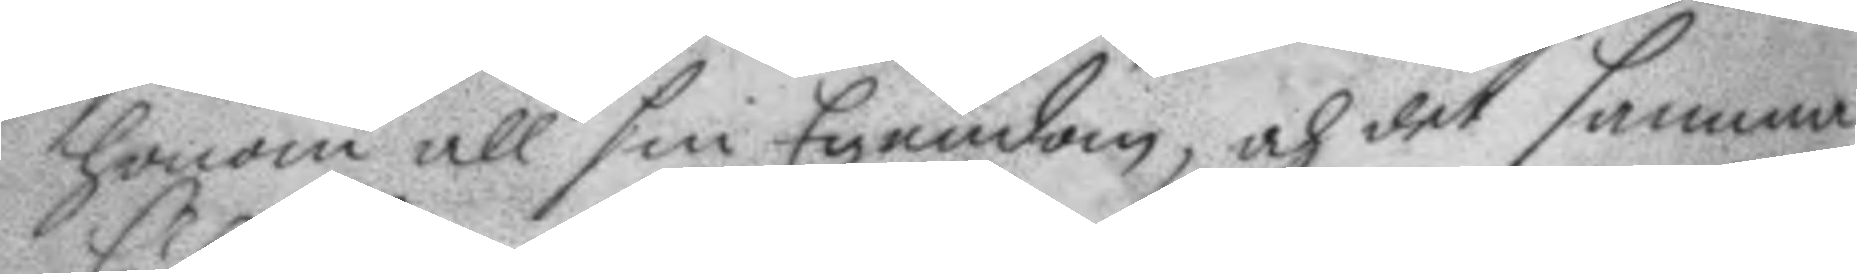honom all sin Egendom, och det samma
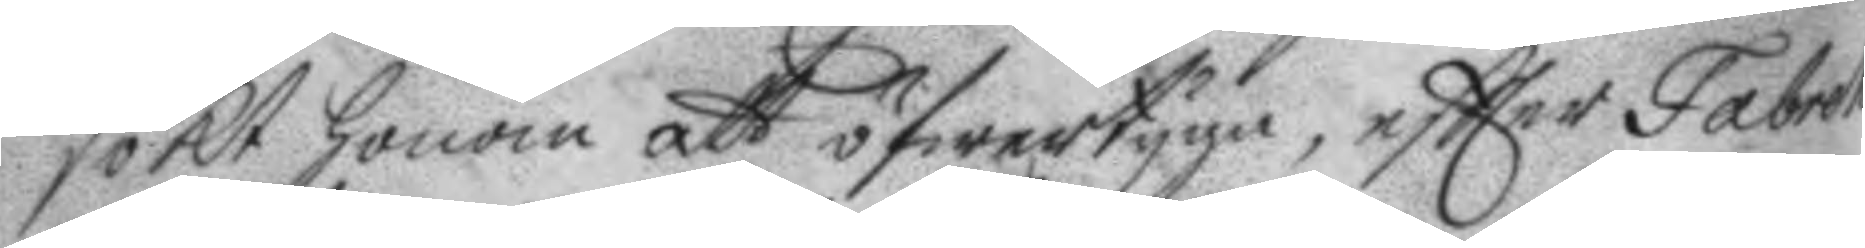sökt honom att öfwertyga, eftter fabrell
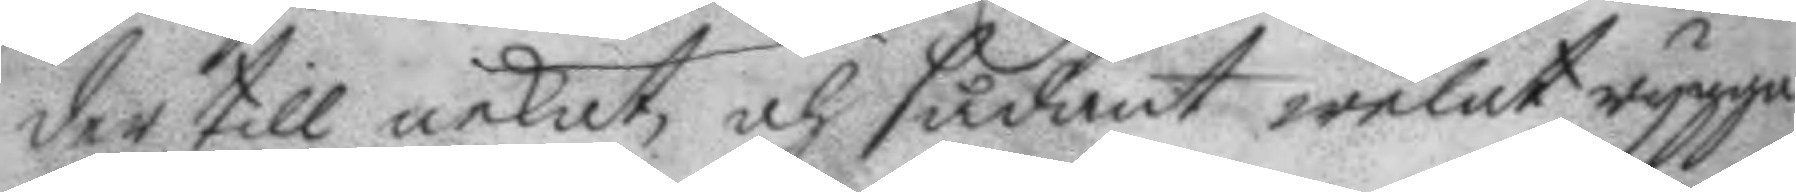der till nekat, och sådant welat rygga,
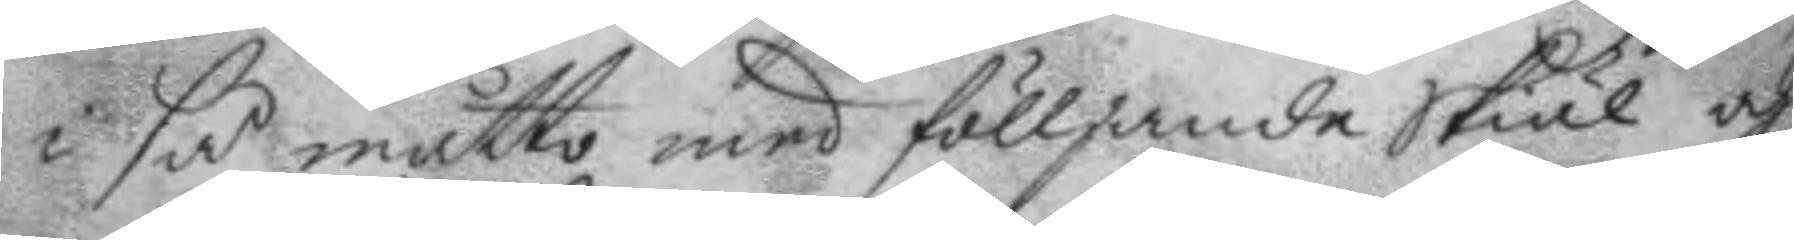i så måtto med fölljande Skiäl och
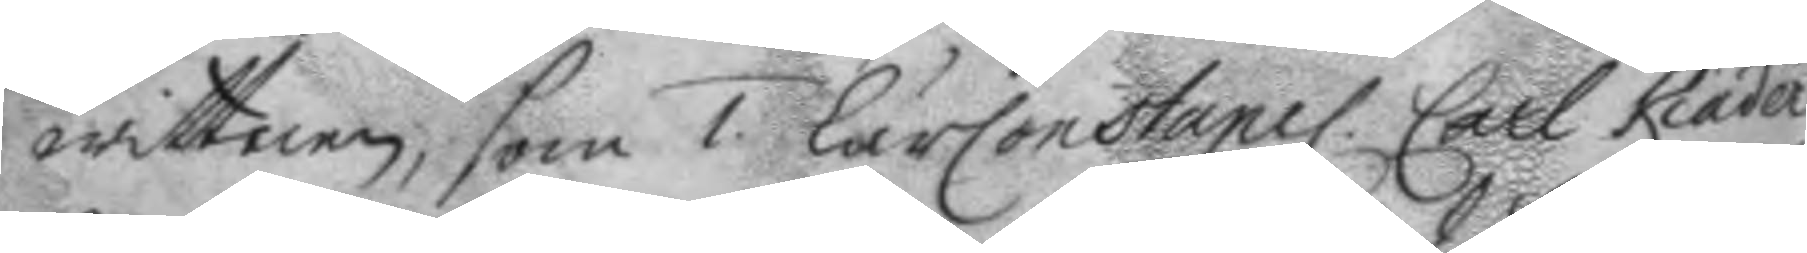wittnen, som 1. LärConstapel. Carl Kiäder 
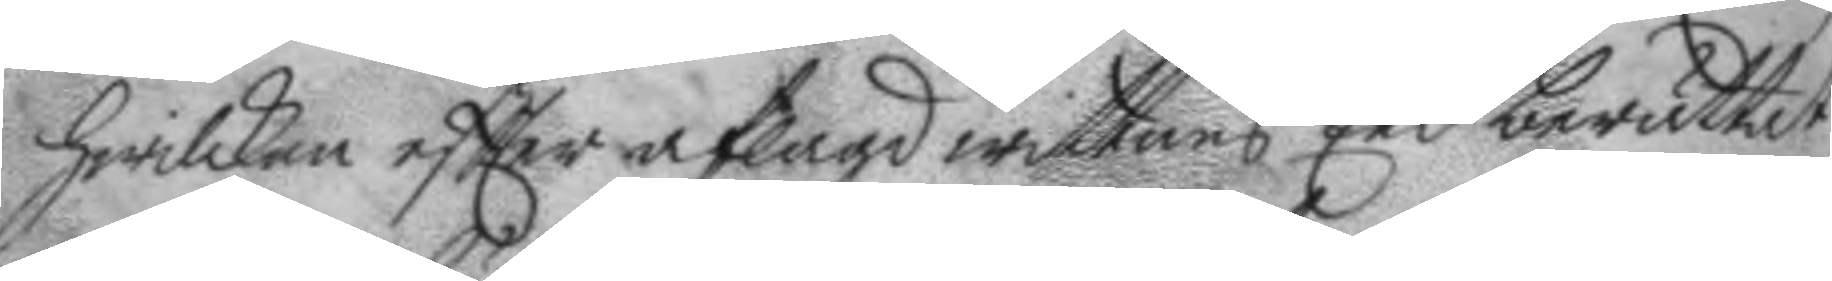hwilken eftter aflagd wittnes Eed berättat
